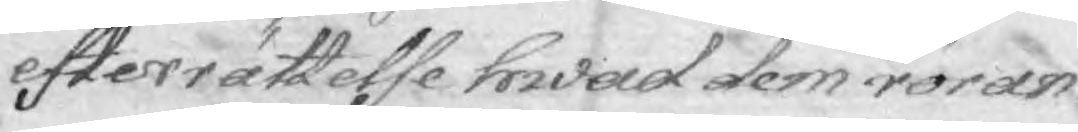efterrättelse hwad dem röran¬
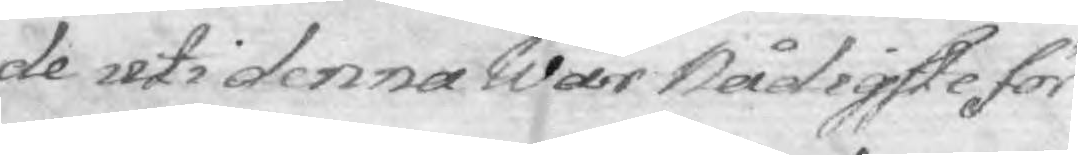de uti denna Wår Nådigste för¬
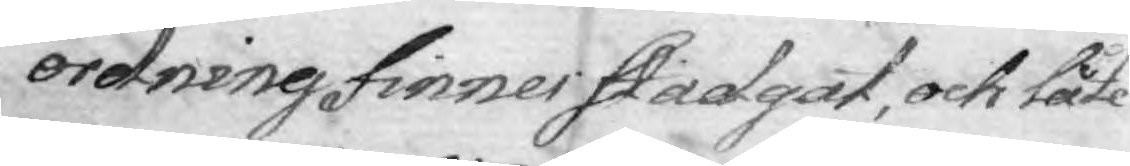ordning finner stadgat, och låte
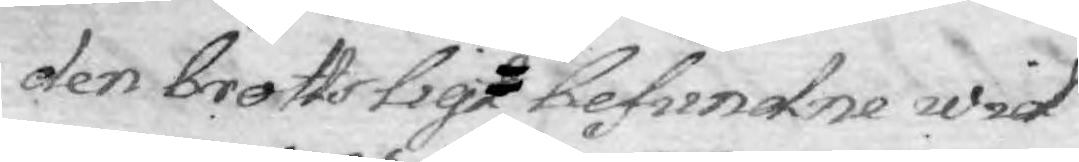den brottsligt besundne wid
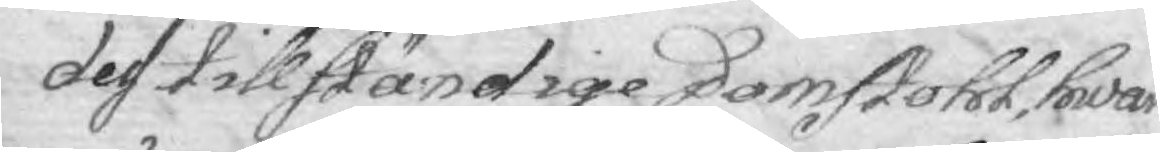des tillständige Domstohl, hwar
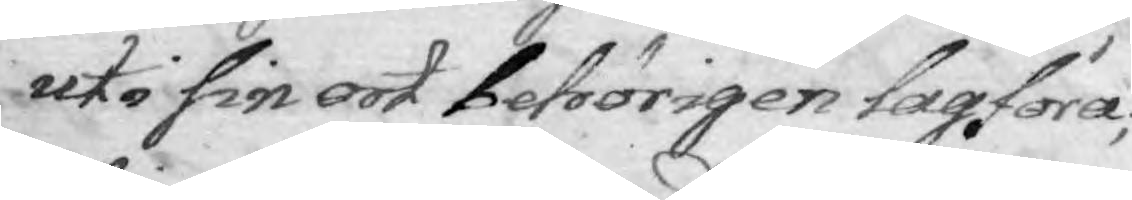uti sin ort behörigen lagföra;
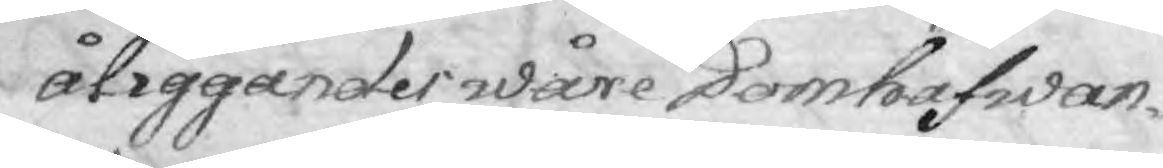åliggandes wåre Domhafwan¬
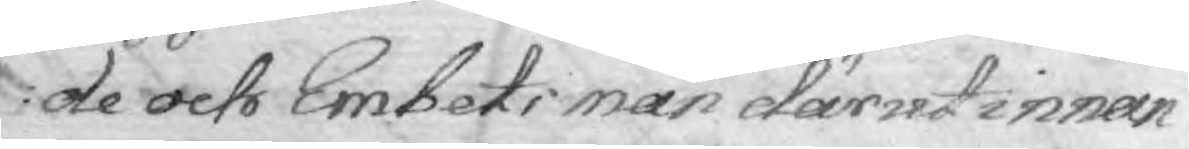de och Embets män därutinnan
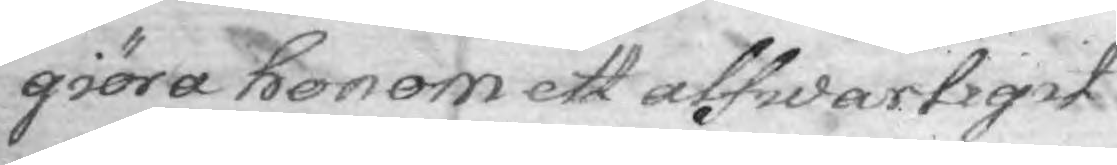giöra honom ett alfwarligit
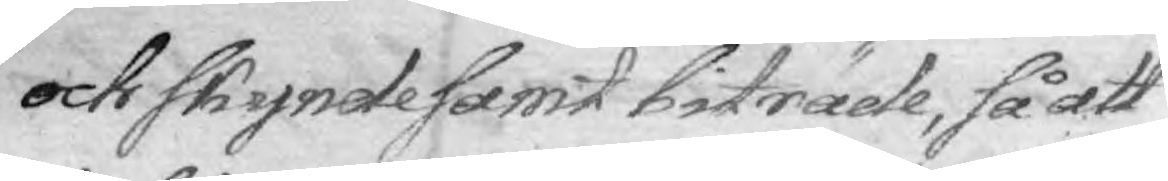och skyndesamt biträde, så att
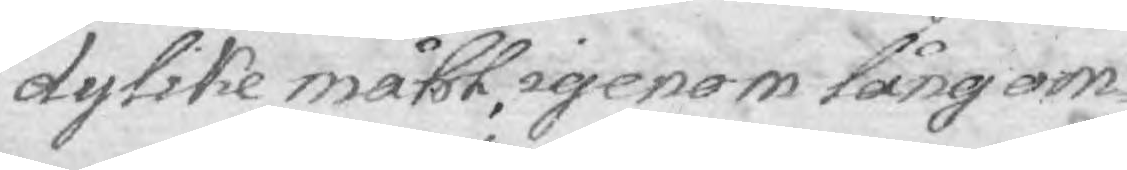dylikt måhl igenom lång om¬
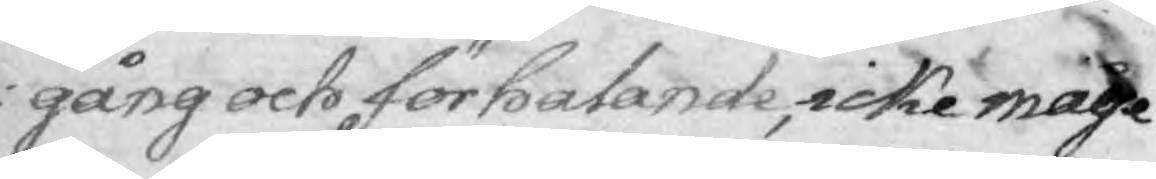gång och förhalande, icke måge
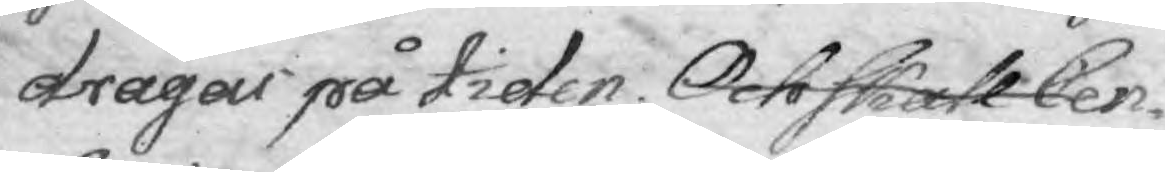dragas på tiden. Och skall Cen¬
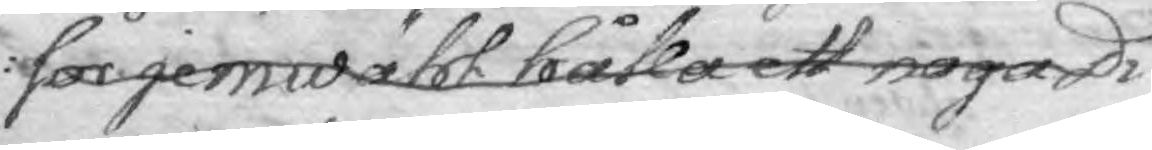sor jemwähl hålla ett noga Di¬
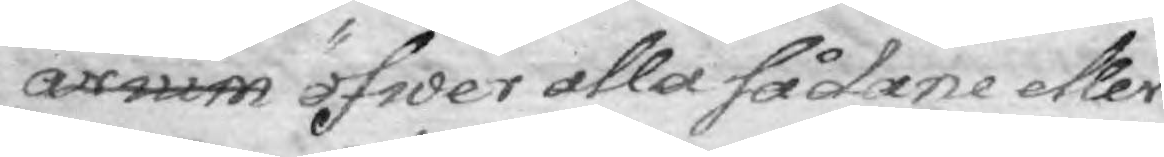arium öfwer alla sådane eller
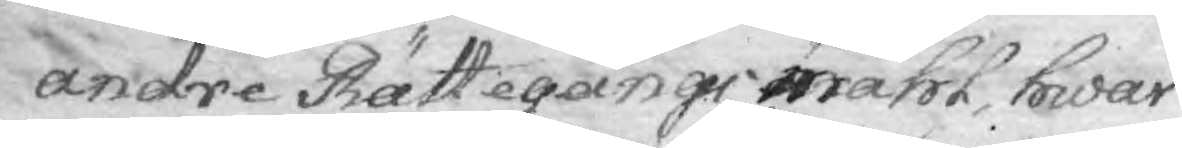andre Rättegångsmåhl, hwar
